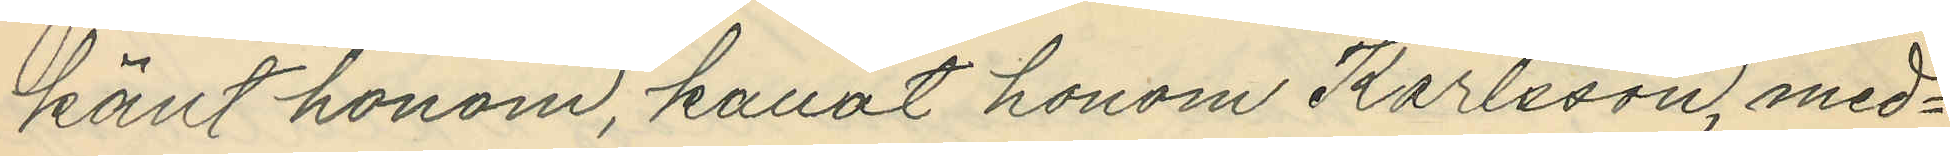känt honom, kallat honom Karlsson, med¬
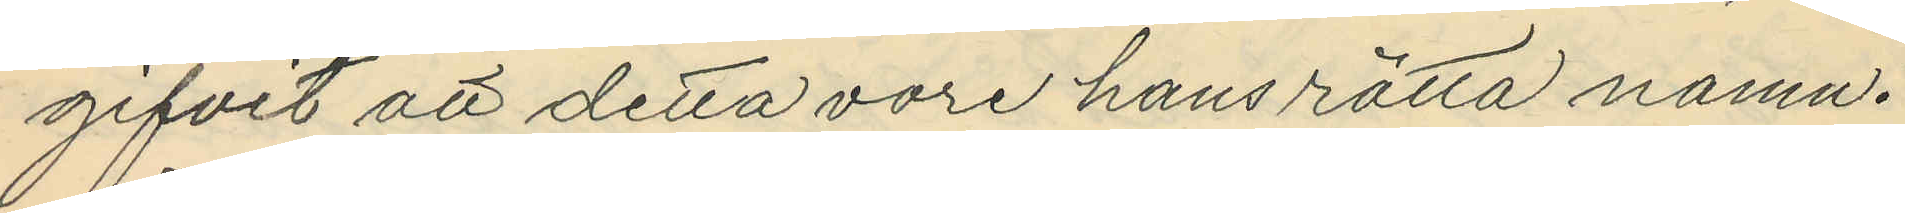gifvit att detta vore hans rätta namn.
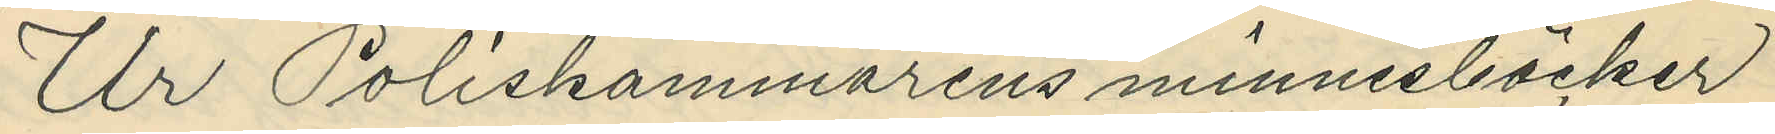Ur Poliskammarens minnesböcker
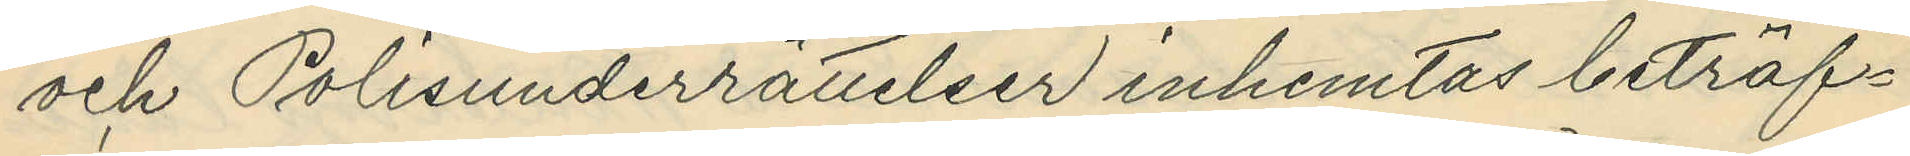och Polisunderrättelser inhemtas beträf¬
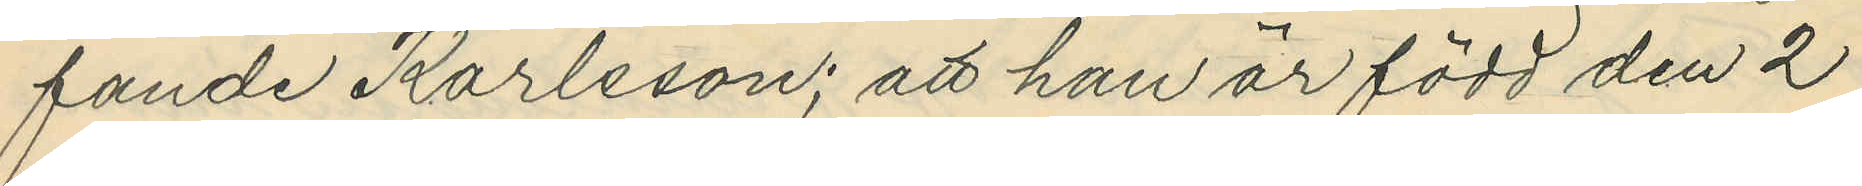fande Karlsson; att han är född den 2
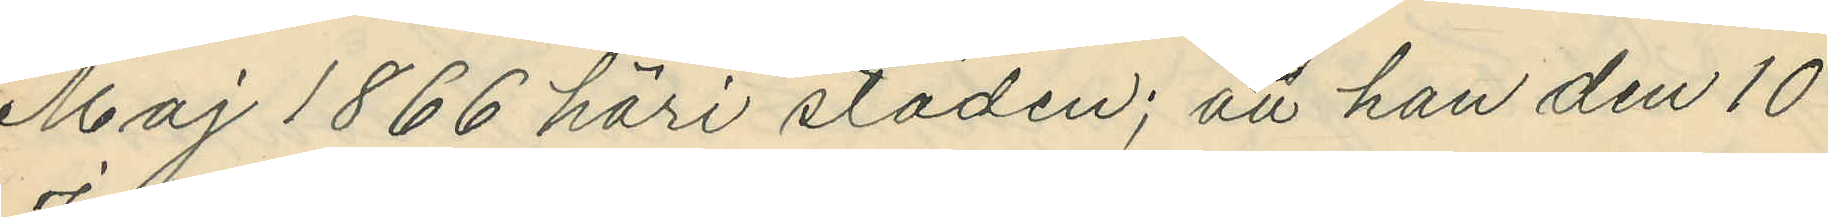Maj 1866 häri staden; att han den 10
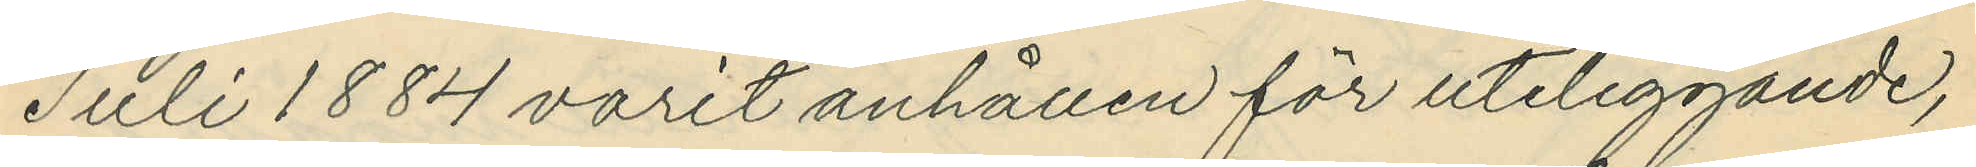Juli 1884 varit anhållen för uteliggande,
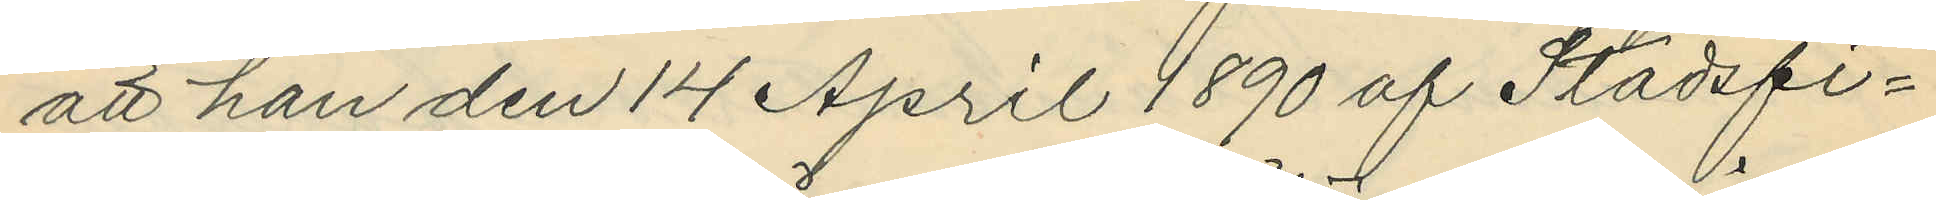att han den 14 April 1890 af Stadsfi¬
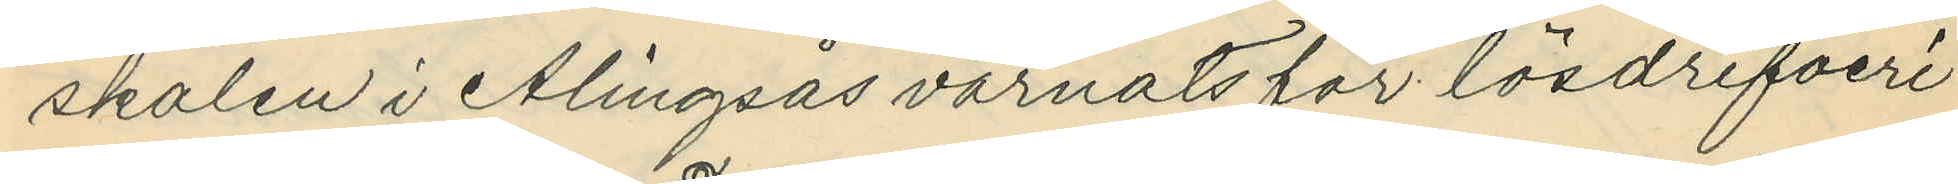skålen i Alingsås varnats för lösdrifveri
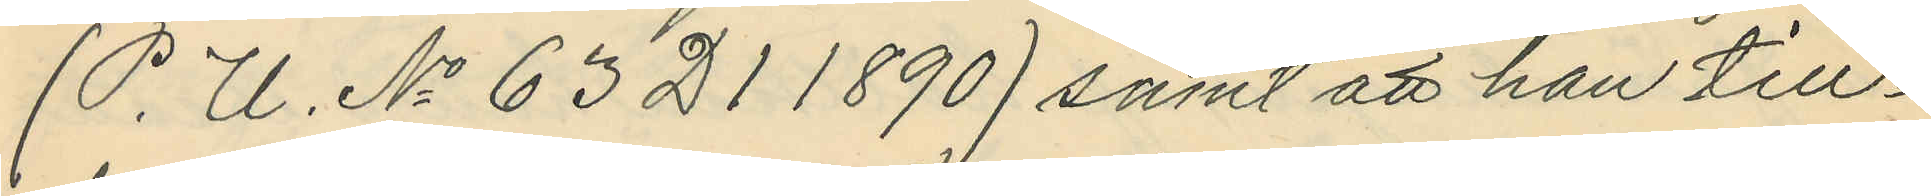(P. U. No 63 D1 1890) samt att han till¬
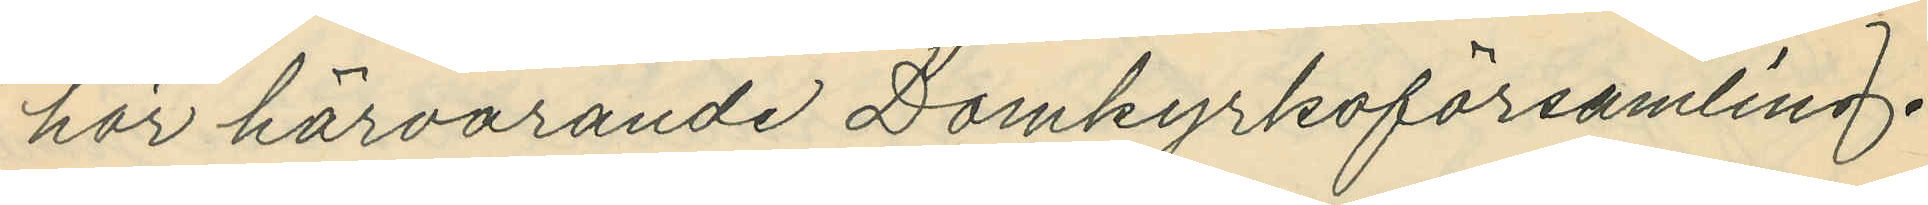hör härvarande Domkyrkoförsamling.
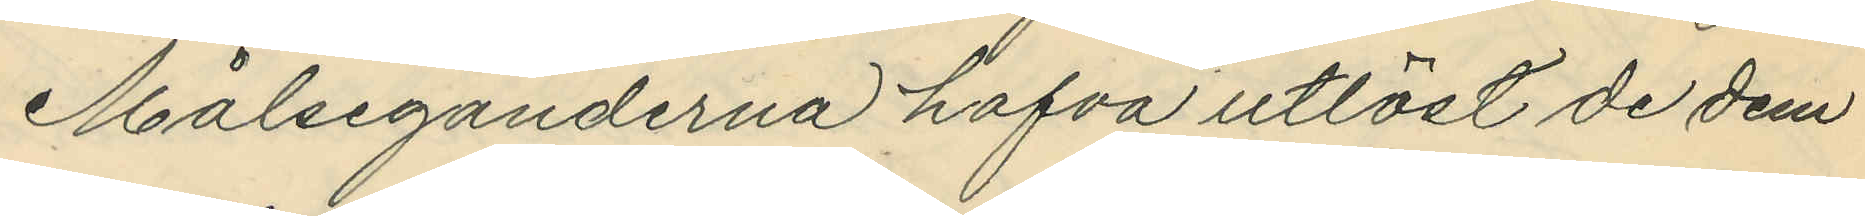Målseganderna hafva utlöst de dem
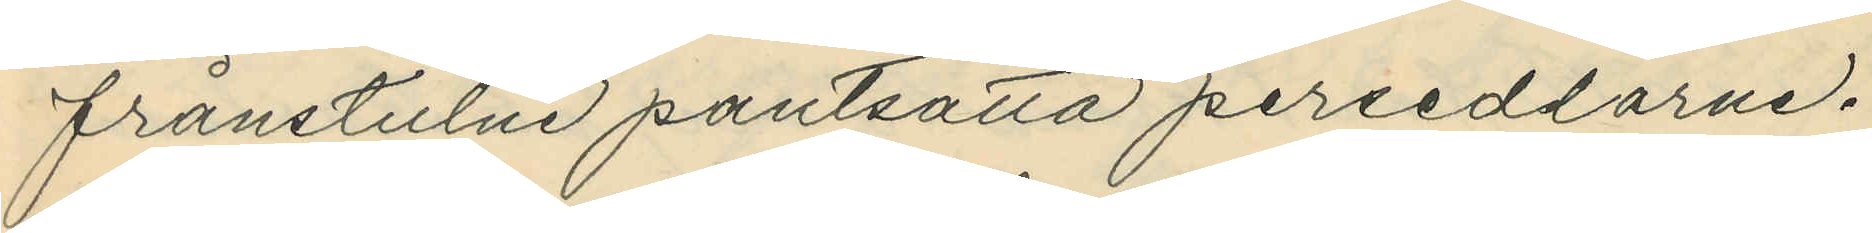frånstulne pantsatta persedlarne.
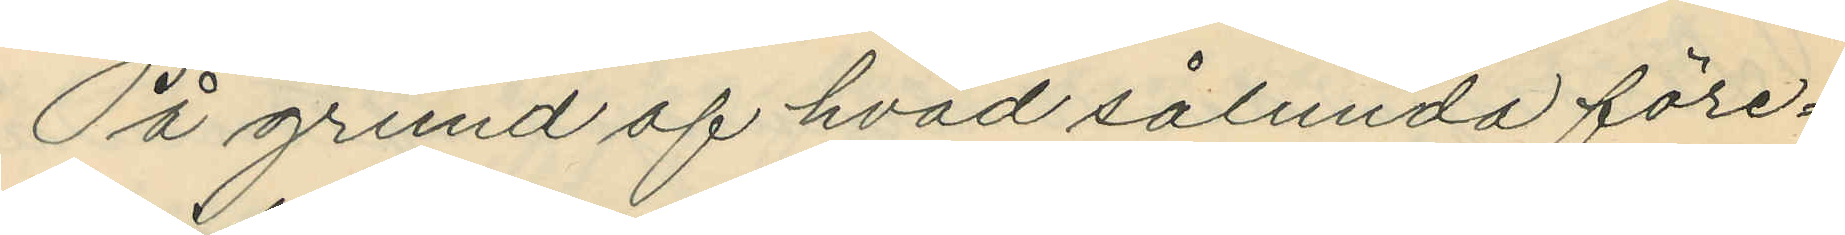På grund af hvad sålunda före¬
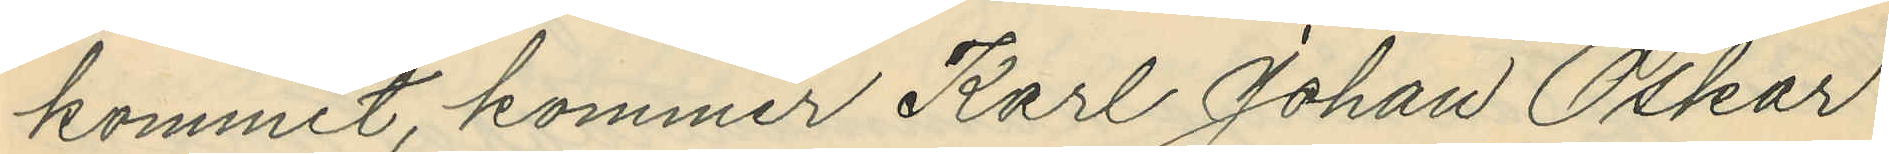kommit, kommer Karl Johan Oskar
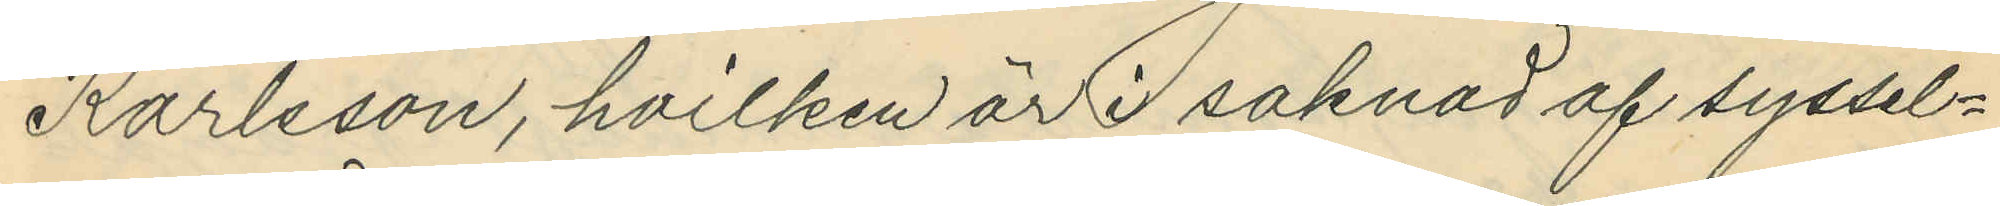Karlsson, hvilken är i saknad af syssel¬
